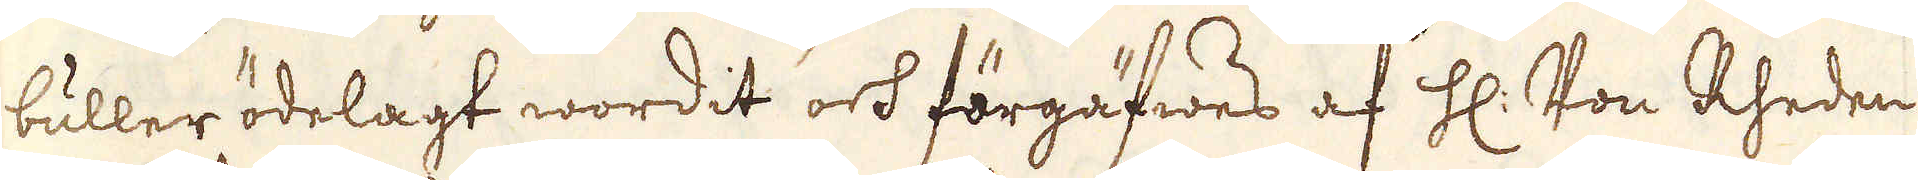buller ödelagt wordit och förgäfwes af H: Von Rheden
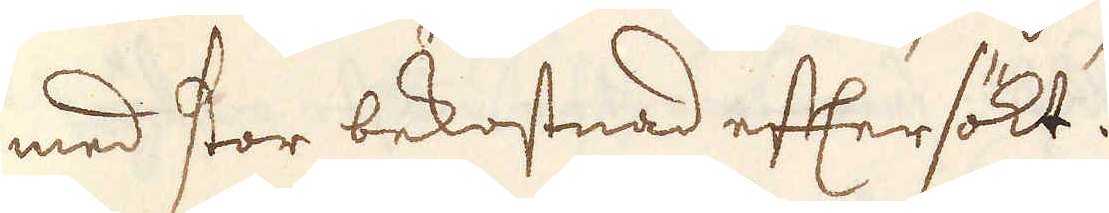med stor bekostnad eftersökt.
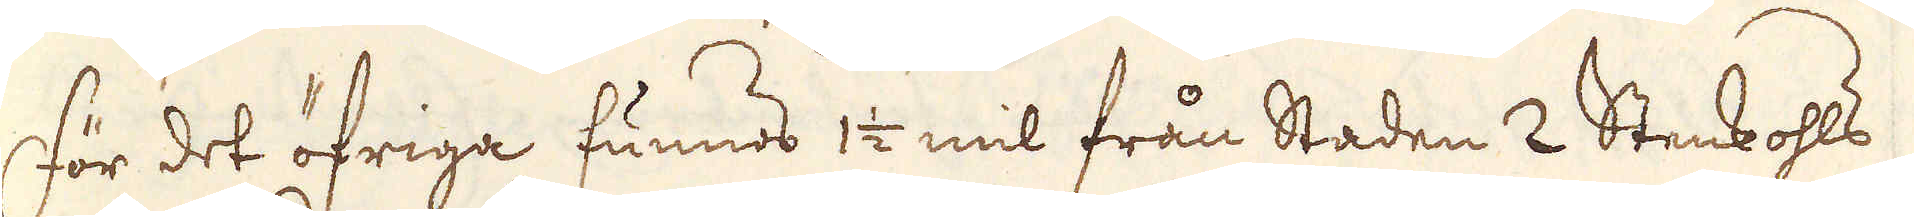För det öfriga funnos 1/2 mil från Staden 2 Stenkohls
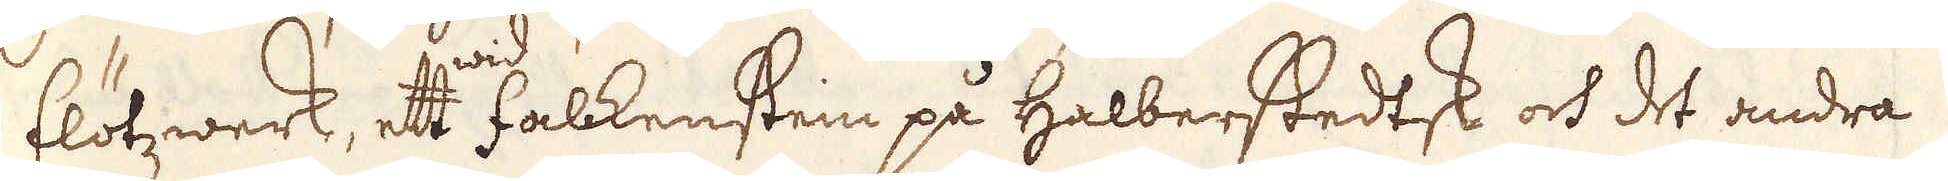Flötzwerk, ett wid Falkenstein på Halberstedtsk och det andra
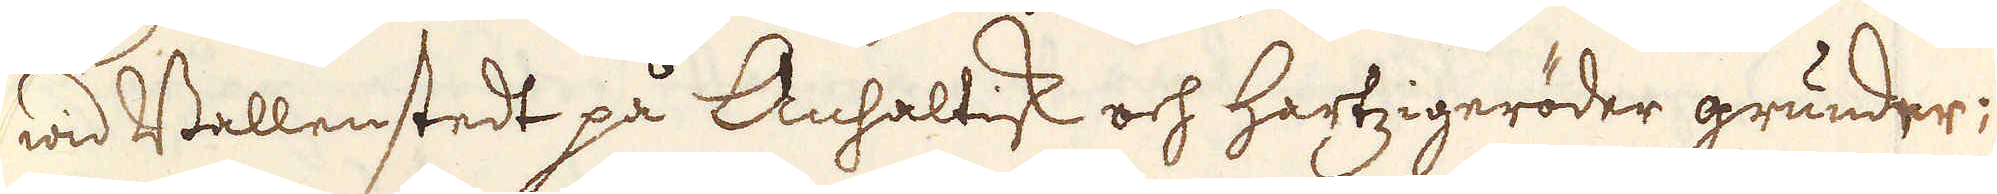wid Wallenstedt på Anhaltisk och Hartzigeröder grunder;
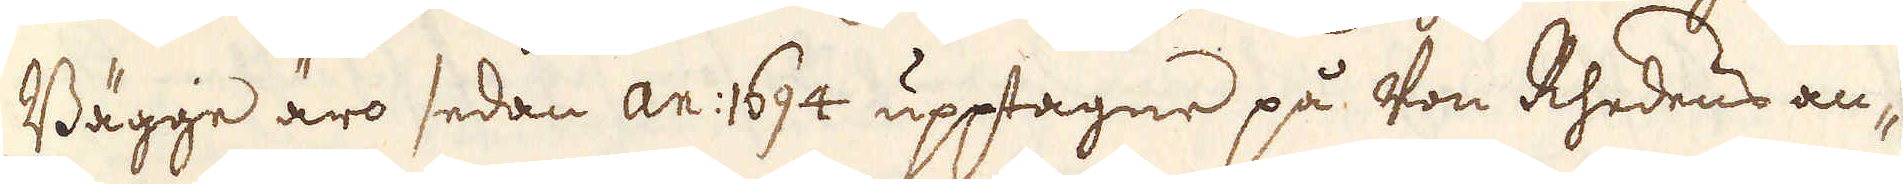Bägge äro sedan an: 1694 upptagne på Von Rhedens an-
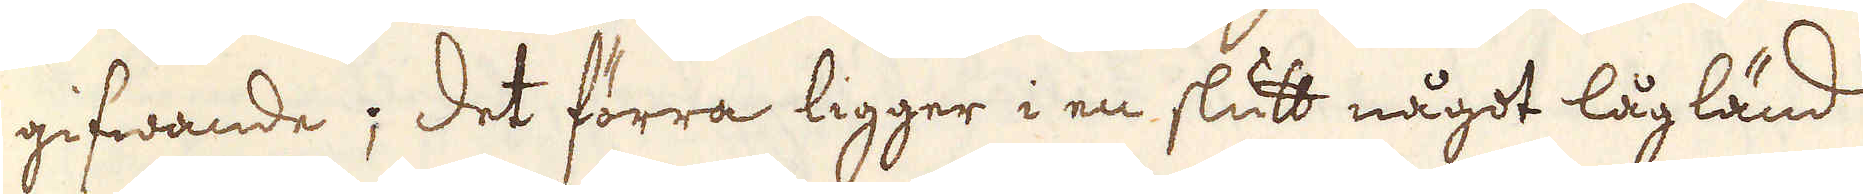gifwande; Det förra ligger i en slutt något lågländ
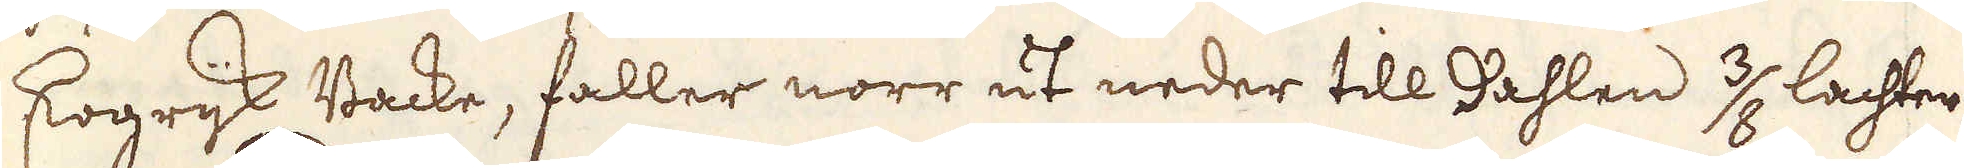skogrijk Backe, faller norr ut neder till dahlen 3/8 lachter
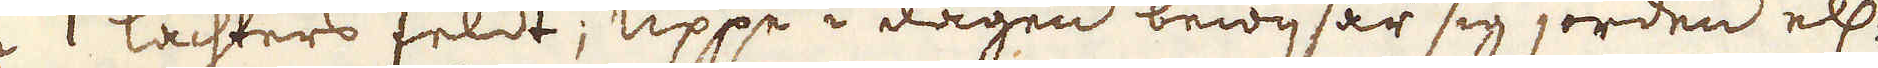i 1 lachters feldt; Uppe i dagen bewisar sig jorden ell:
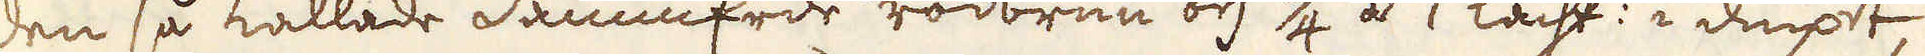den så kallade dammErde rödbrun och 3/4 á 1 lacht: i diupet,
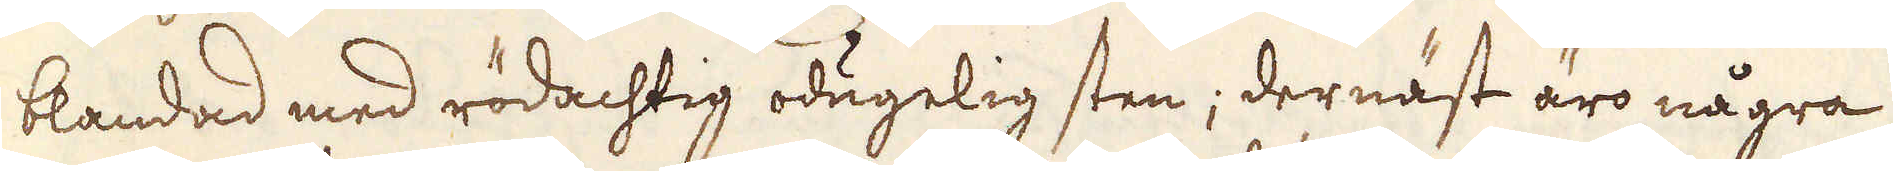blandad med rödachtig odugelig sten; dernäst äro några
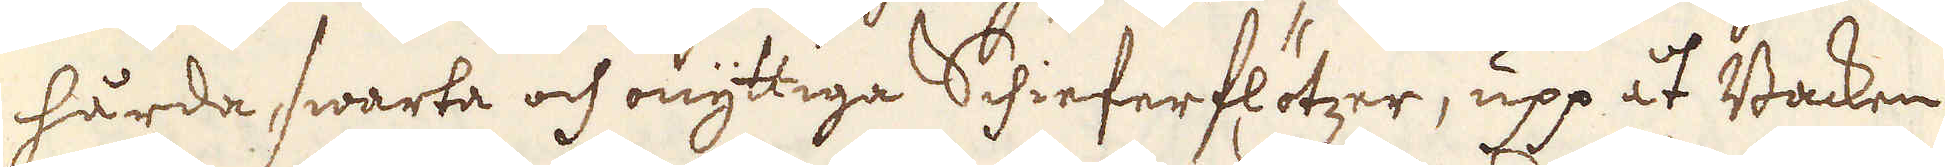hårda swarta och onyttiga Schieferflötzer, upp åt Backen
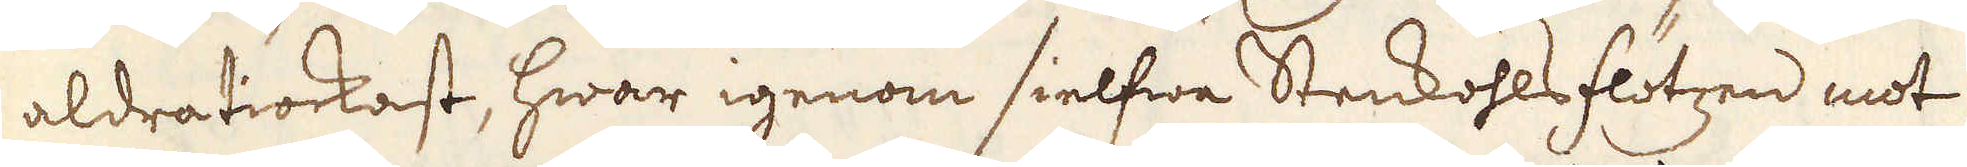aldratiockast, hwar igenom sielfwa Stenkohls flötzen mot
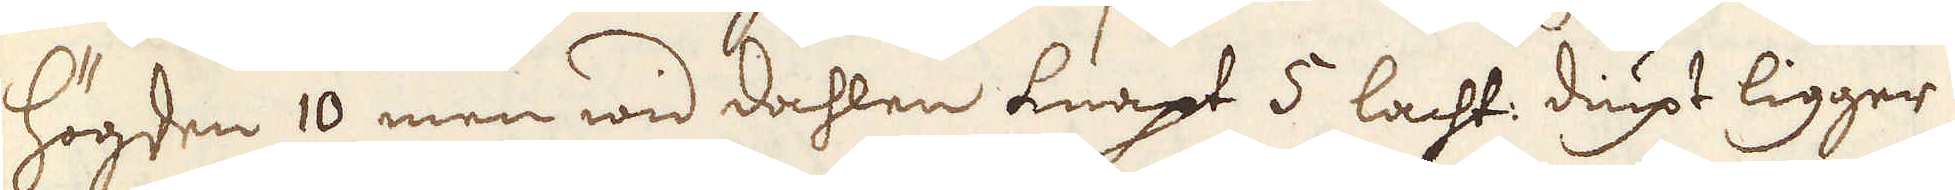högden 10 men wid dahlen knapt 5 lacht: diupt ligger;
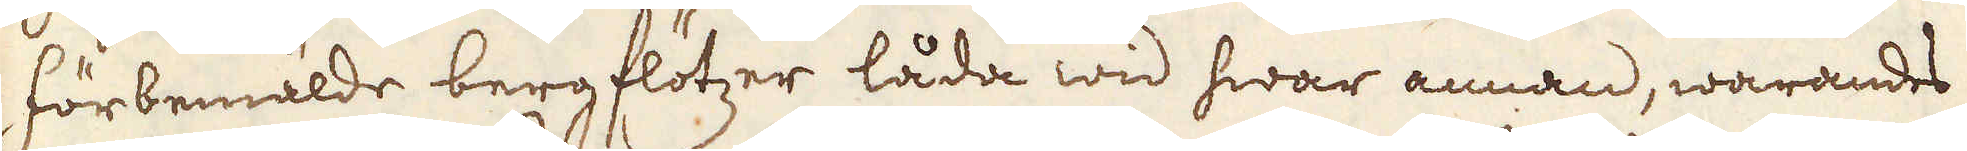förbemälde bergflötzer låda wid hwar annan, warandes
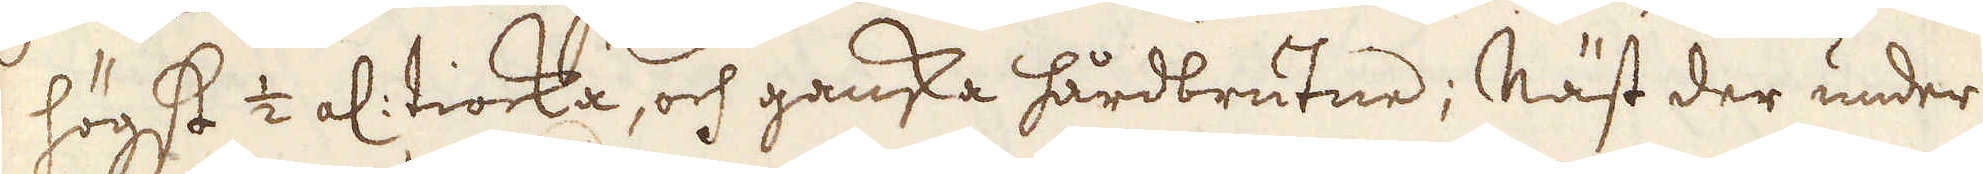högst 1/2 al: tiocka, och ganska hårdbrutne; Näst der under
